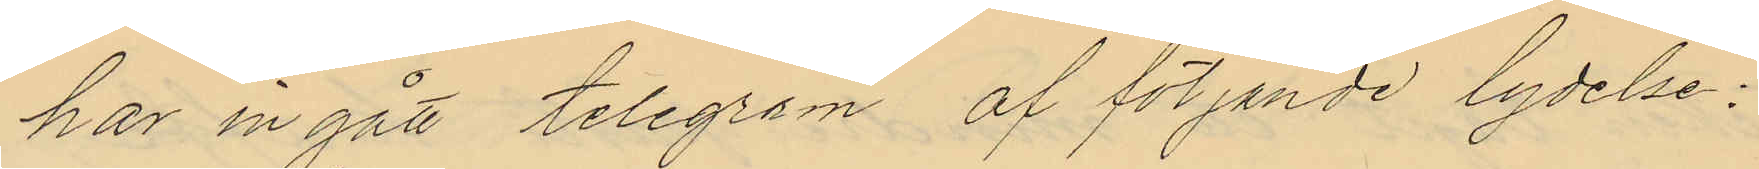har ingått telegram af följande lydelse;
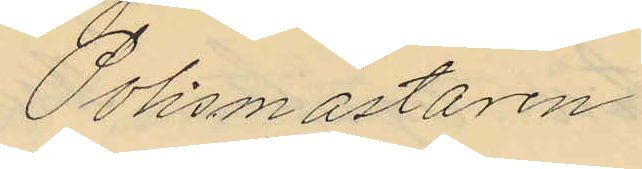Polismästaren
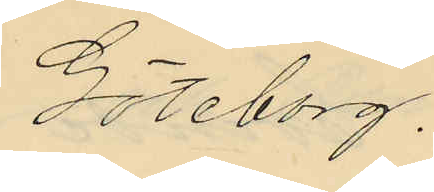Göteborg.
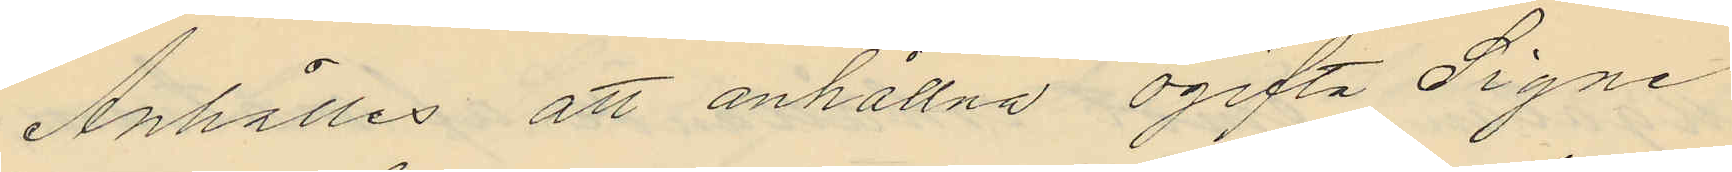Anhålles att anhållna ogifta Signe
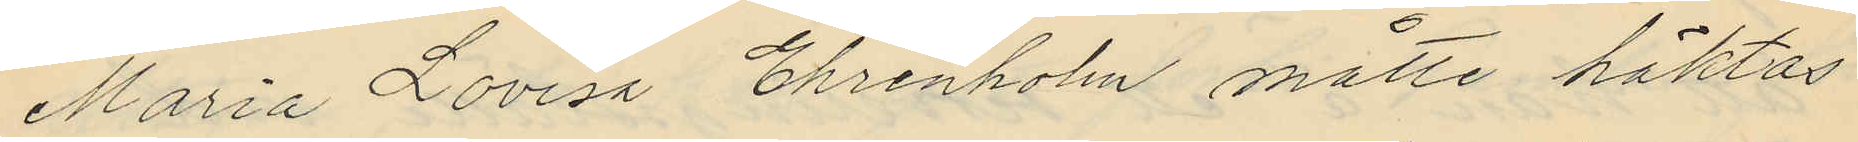Maria Lovisa Ehrenholm måtte häktas
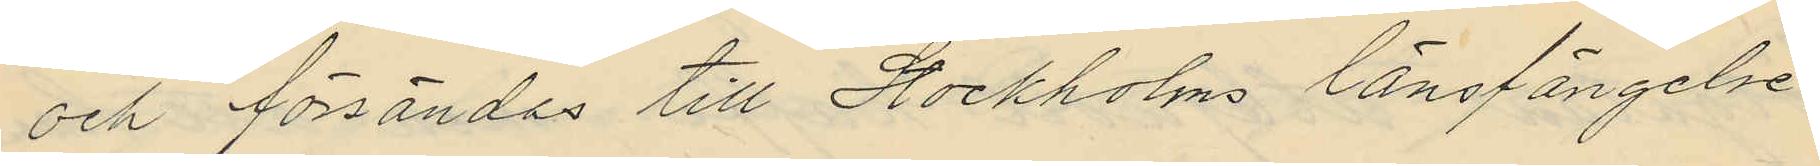och försändas till Stockholms länsfängelse
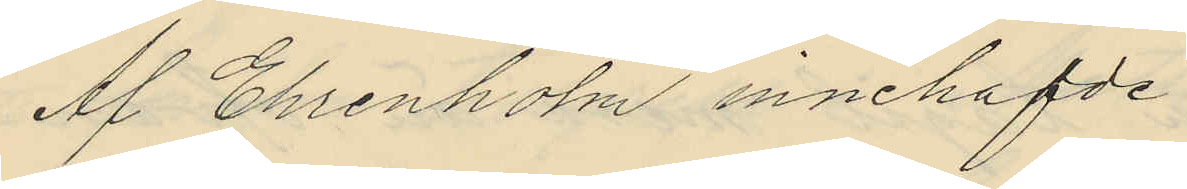Af Ehrenholm innehafde
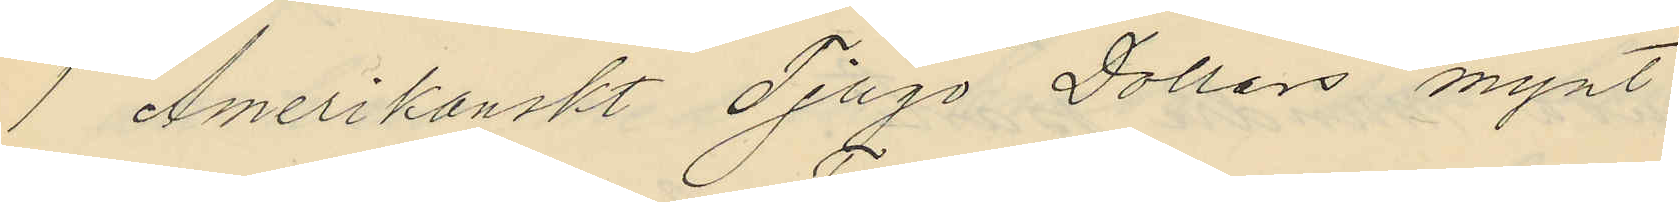1 Amerikanskt Tjugo Dollars mynt
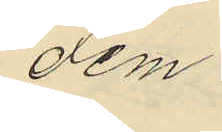Fem
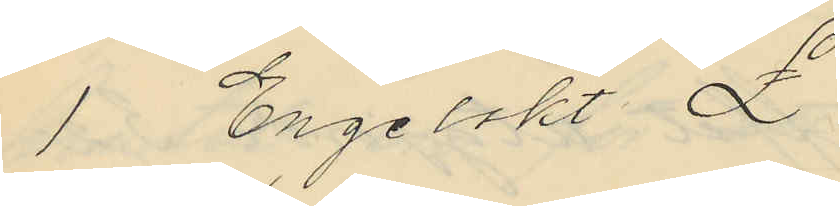1 Engelskt 
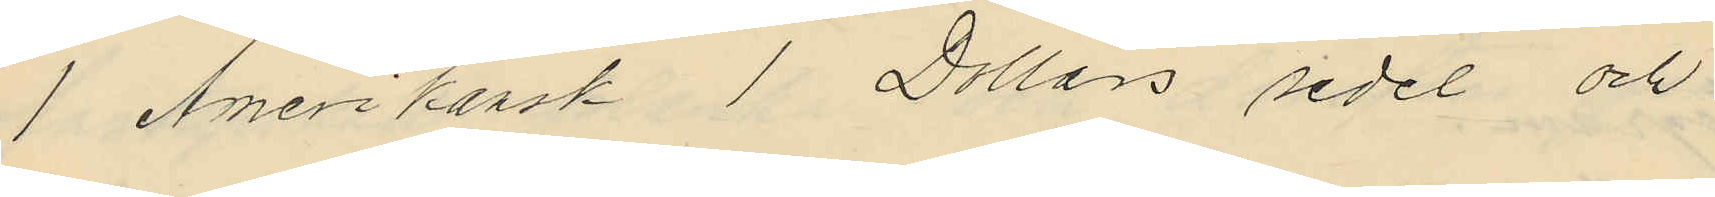1 Amerikansk 1 Dollars sedel och
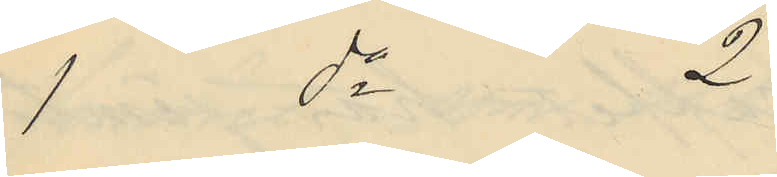1  do 2
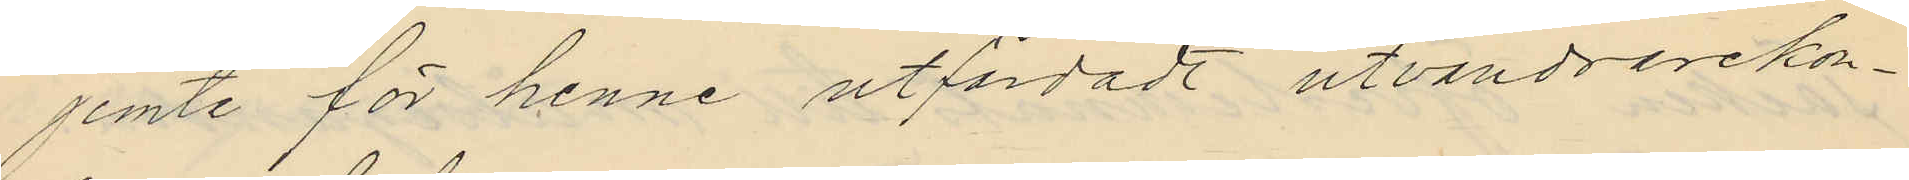jemte för henne utfärdadt utvandrerekon¬
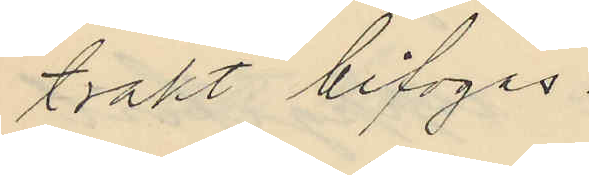trakt bifogas.
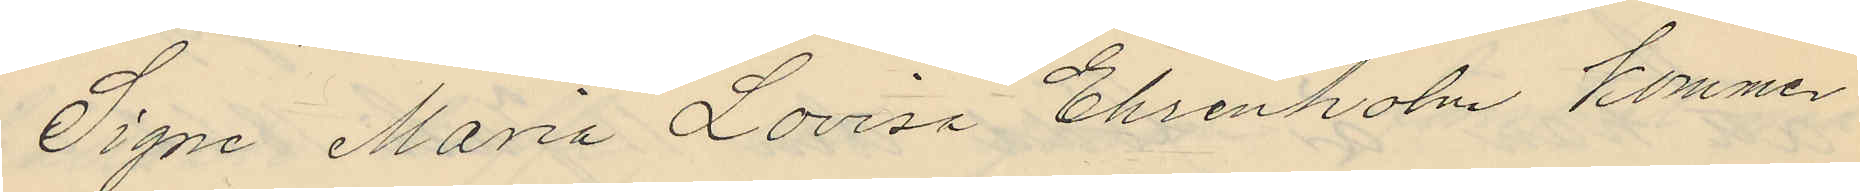Signe Maria Lovisa Ehrenholm kommer
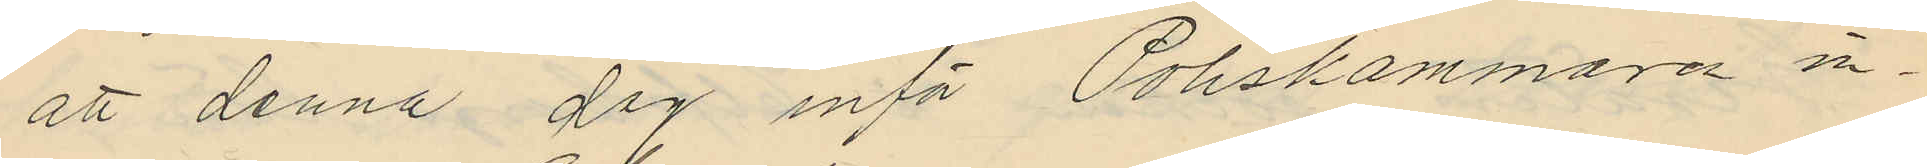att denna dag infå Poliskammaren in¬
